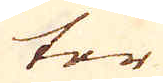ter
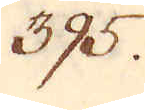395.
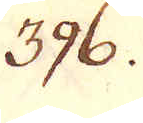396.
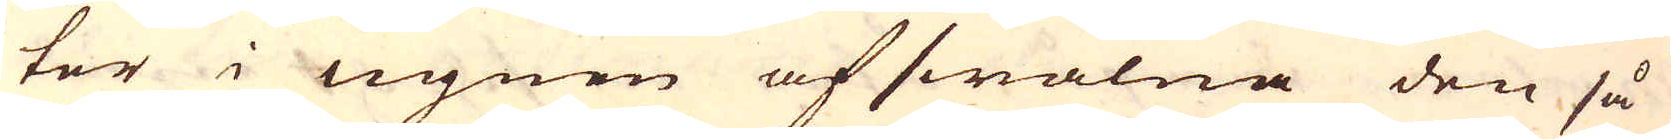ter i ugnen afswalna den så
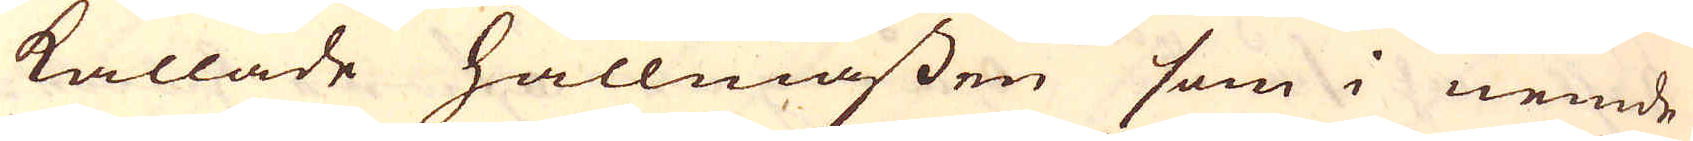kallade hallmassen som i nemde
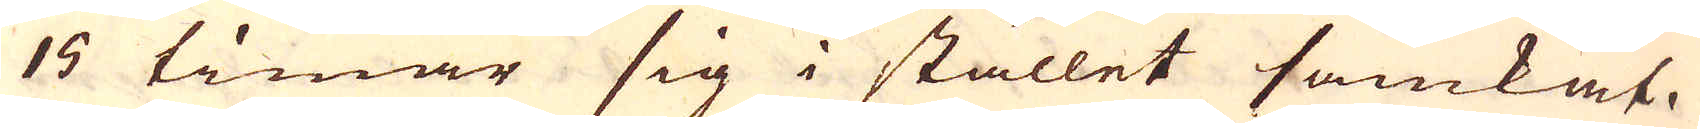15 timar sig i stället samkat.
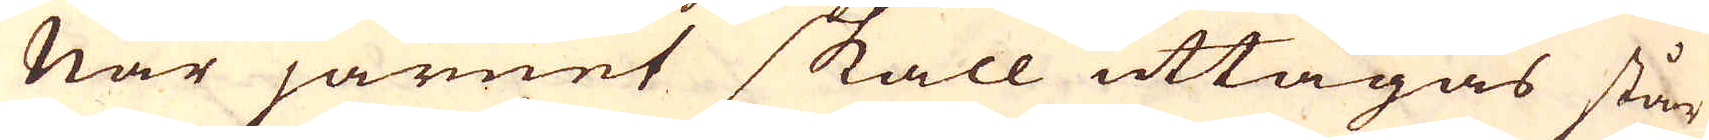När järnet skall uttagas står
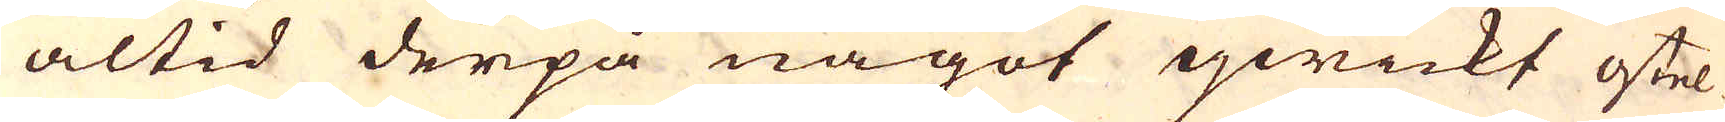altid derpå något qwickt ostel-
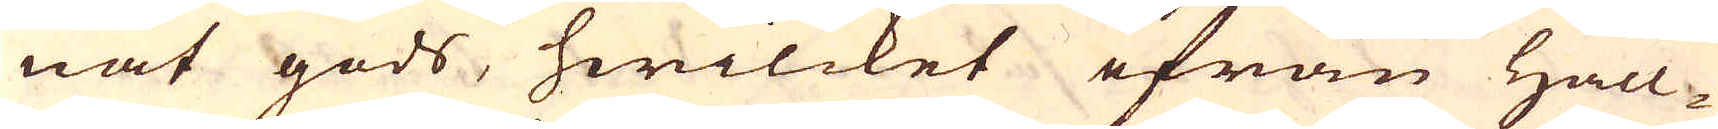nat gods, hwilcket ifrån Hall-
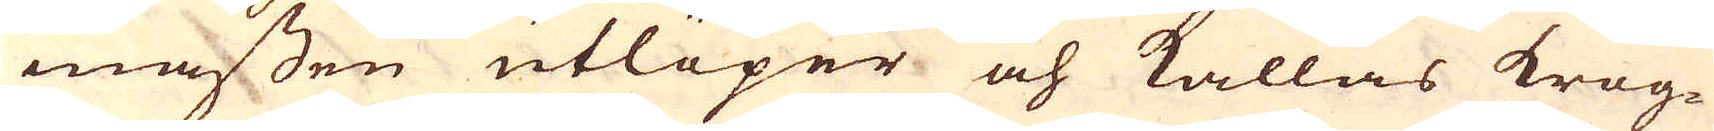massen utlöper och kallas krog-
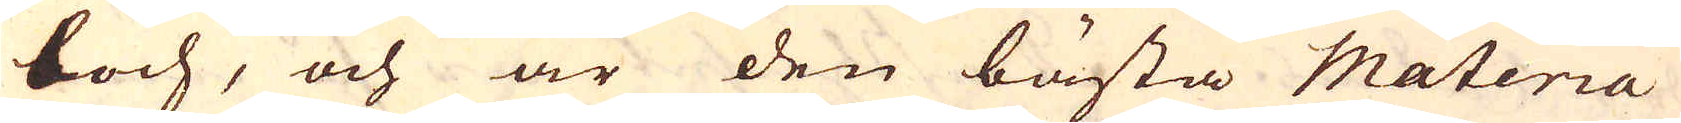boch, och är den bästa Materia
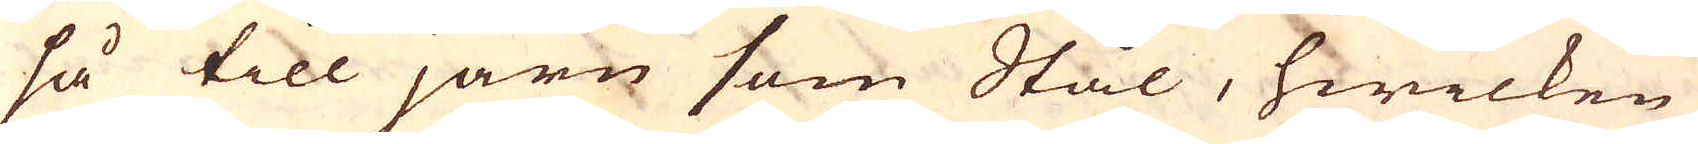så till järn som Stål, hwilken
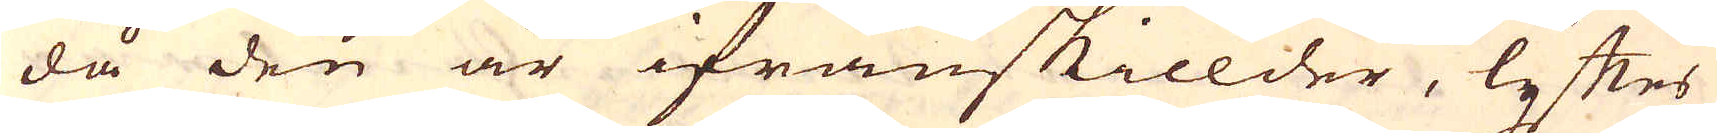då den är ifrånskillder, lyftes
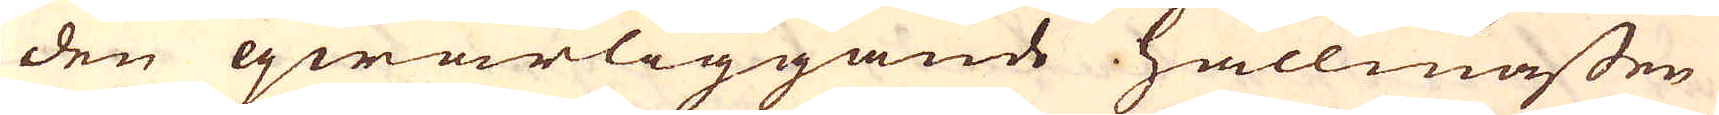den qwarliggande hallmassen
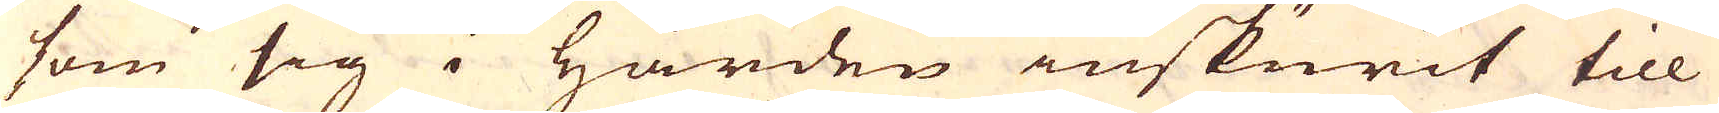som sig i härden inskurit till
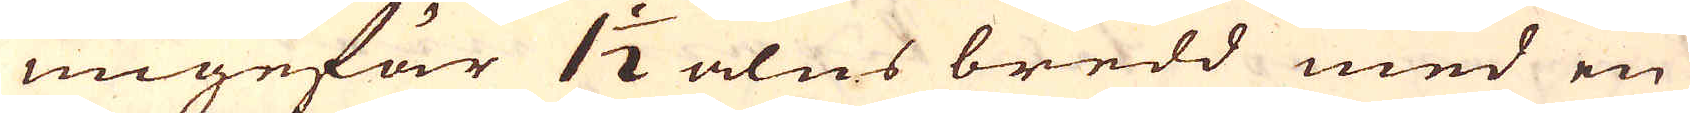ungefär 1 1/2 alns bredd med en
